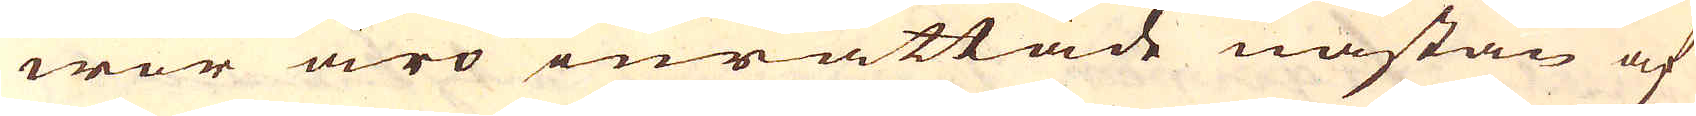wor äro inrättade nästan af
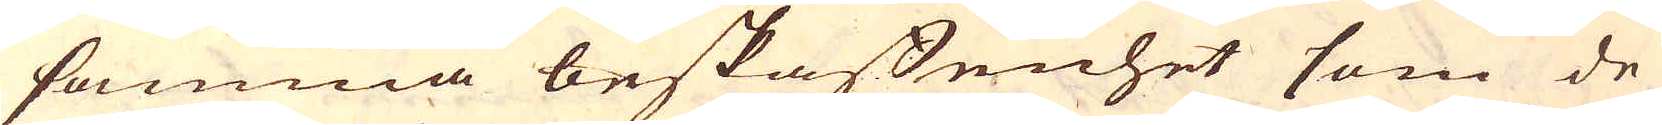samma beskaffenhet som de
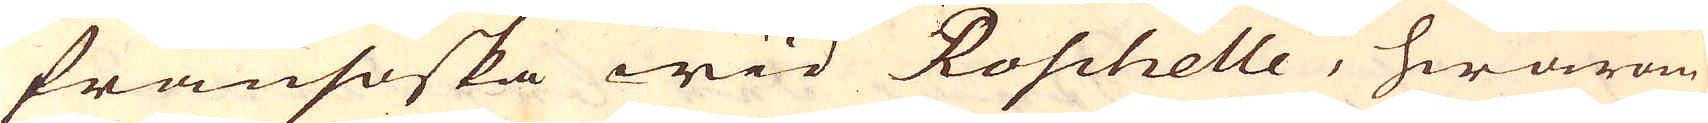fransöska wid Roschelle, hwarom
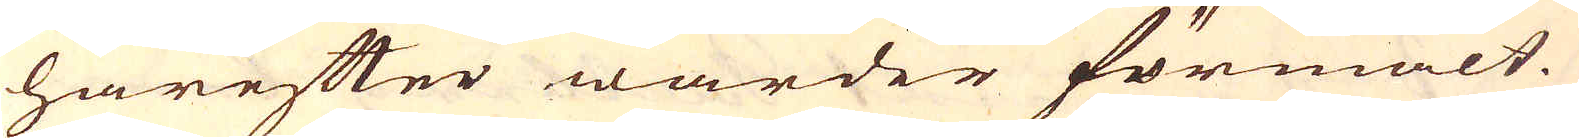härefter warder förmält.
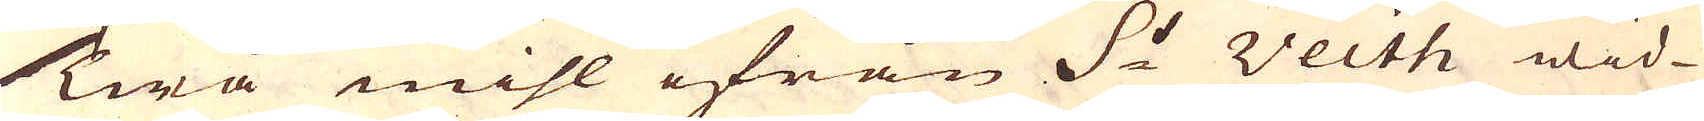Twå mihl ifrån S:t Veith wid
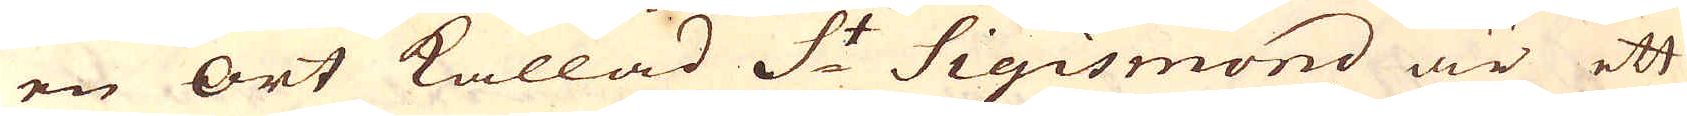en ort kallad S:t Sigismond är ett
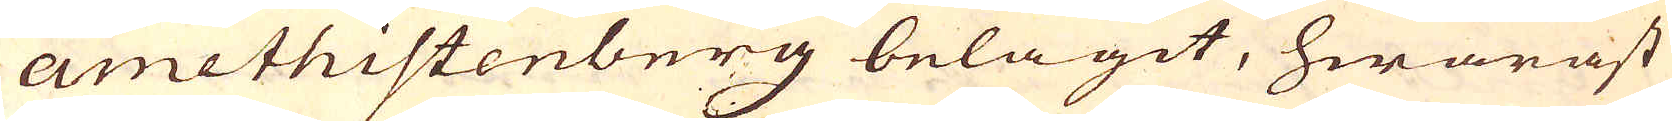amethistenberg belägit, hwaräst
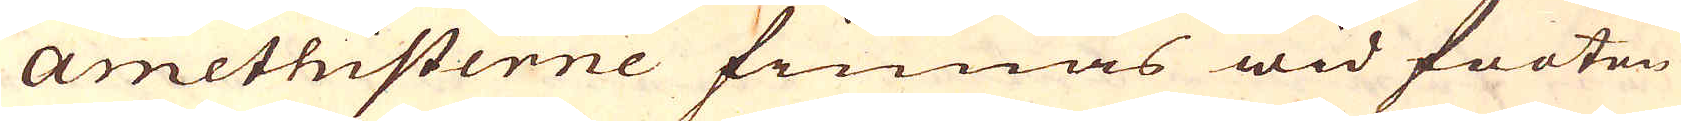Amethisterne finnas wid footen
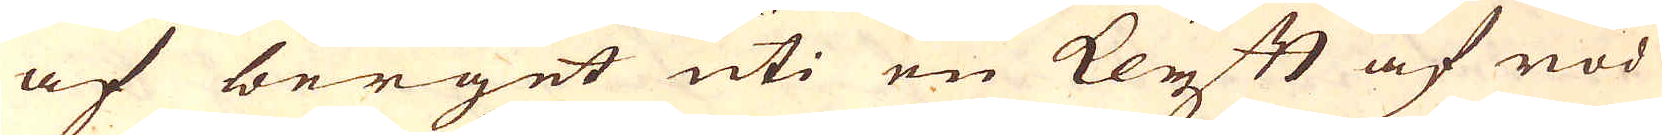af berget uti en klyft af röd
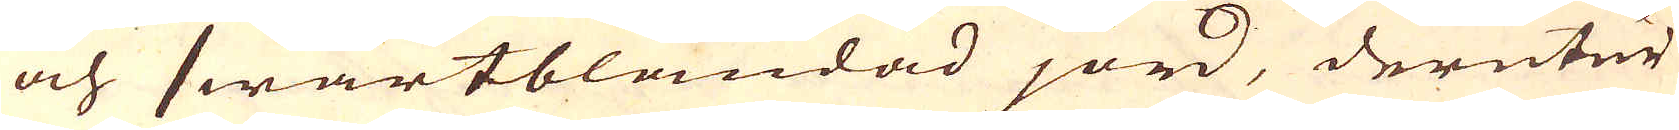och swartblandad jord, derutur
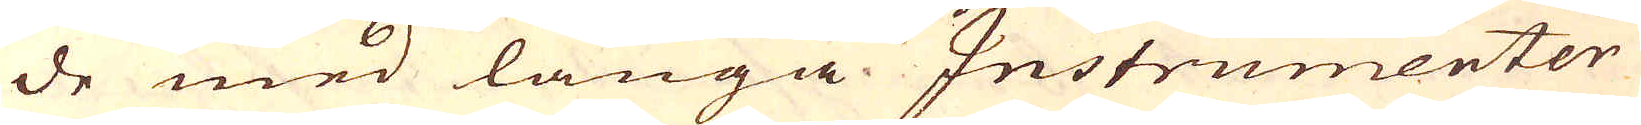de med långa Instrumenter
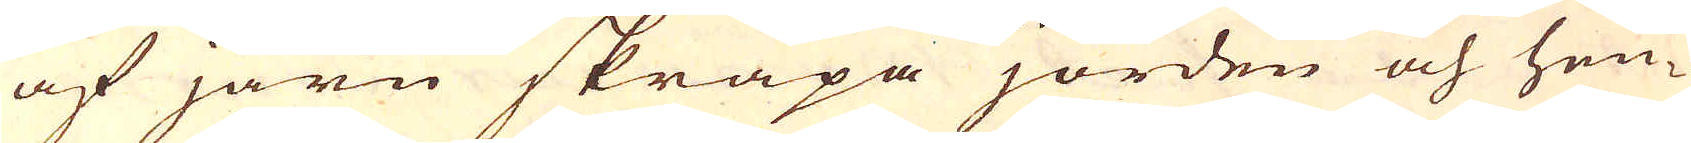af järn skrapa jorden och hen-
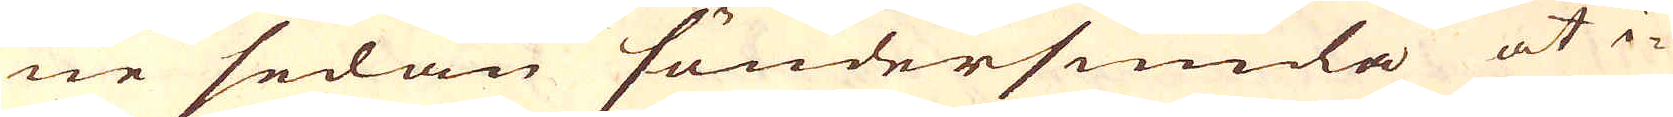ne sedan söndersmida at i-
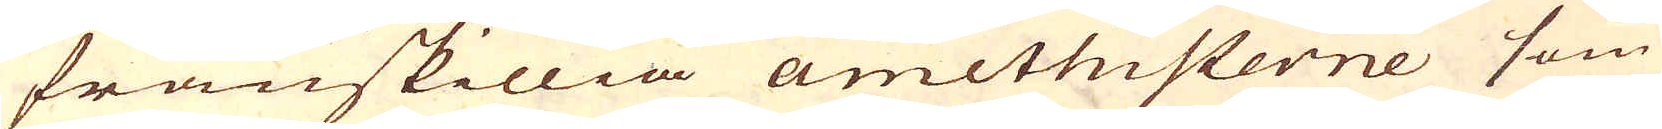frånskillia amithisterne som
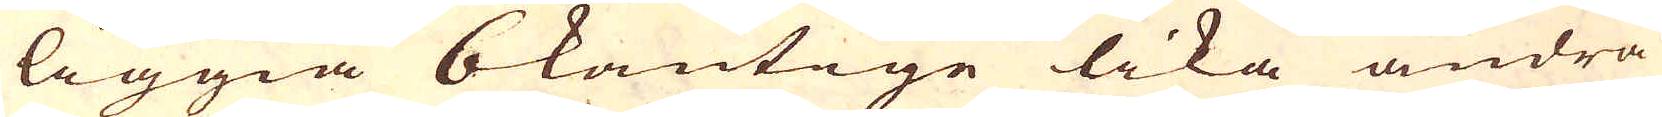liggia 6kantige lika andra
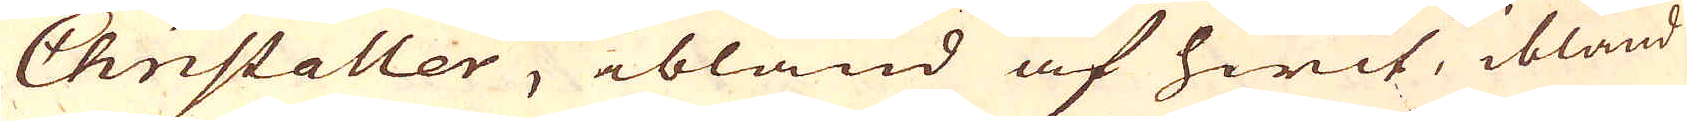Christaller, ibland af hwit, ibland
